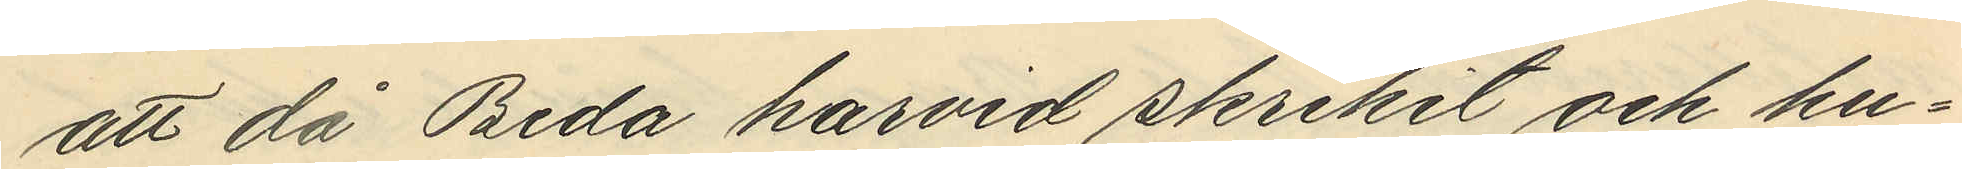att då Beda härvid skrikit och hu¬
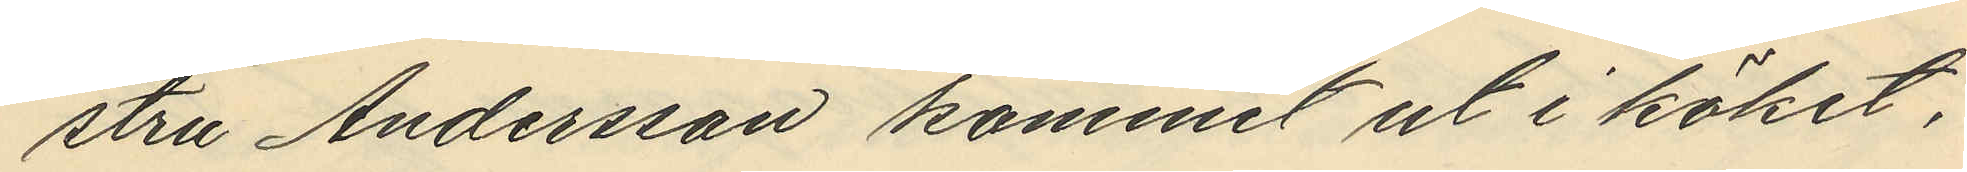stru Andersson kommit ut i köket,
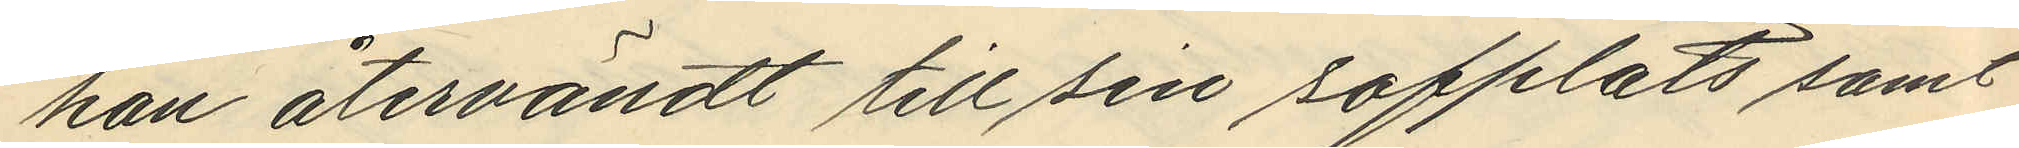han återvändt till sin sofplats samt
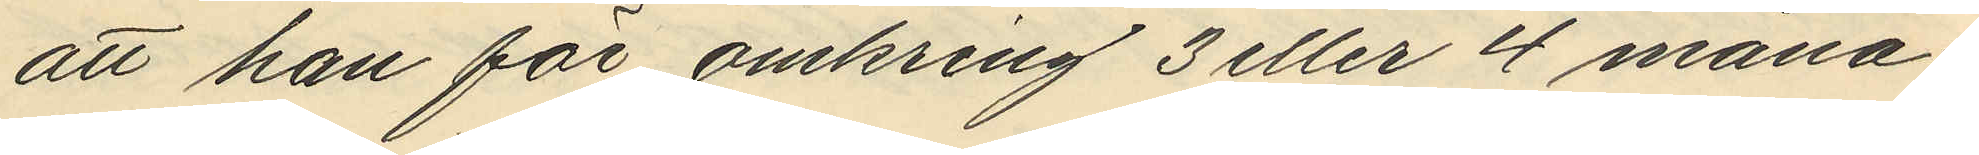att han för omkring 3 eller 4 måna¬
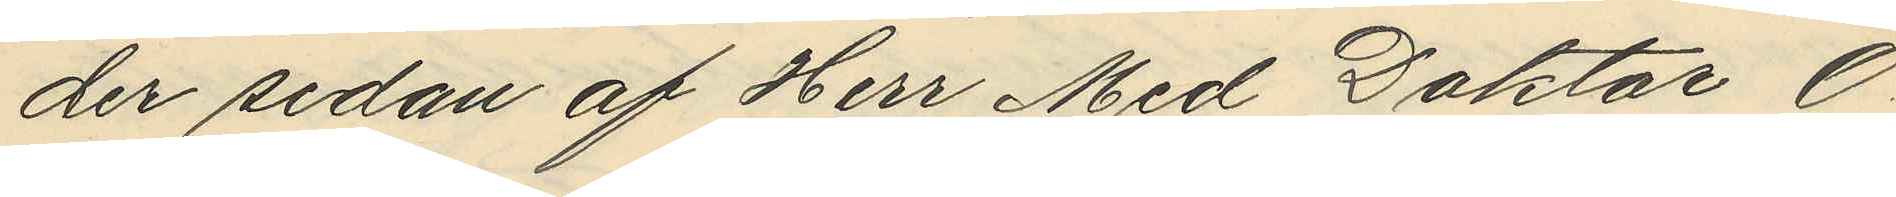der sedan af Herr Med Doktor O.
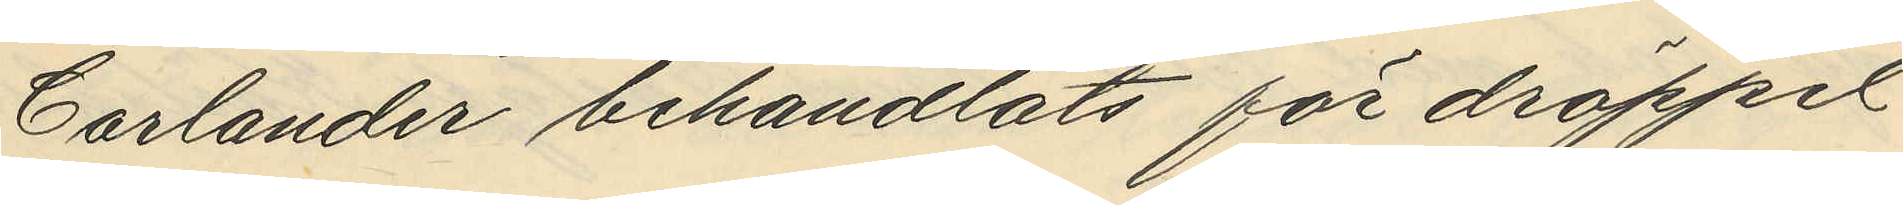Carlander behandlats för dröppel
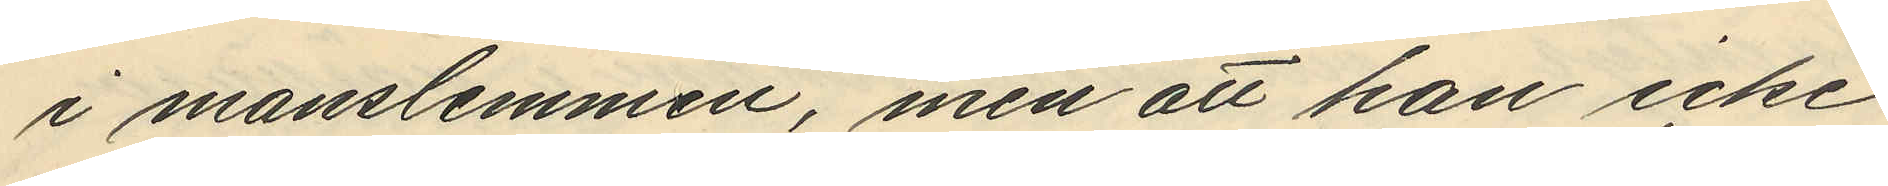i manslemmen, men att han icke
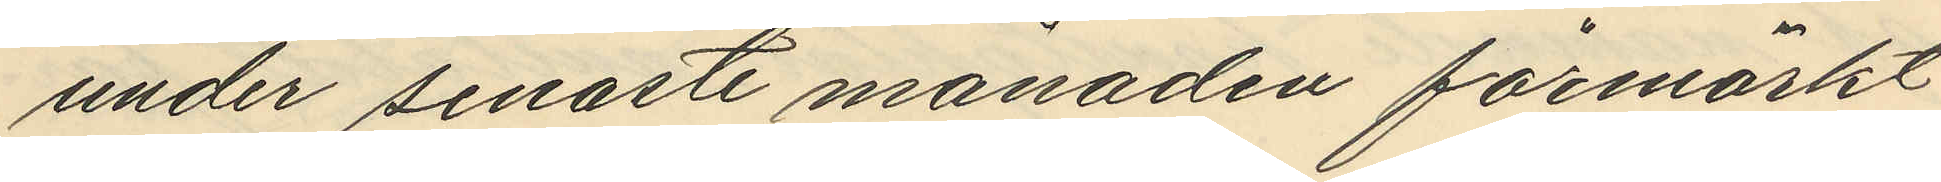under senaste månaden förmärkt
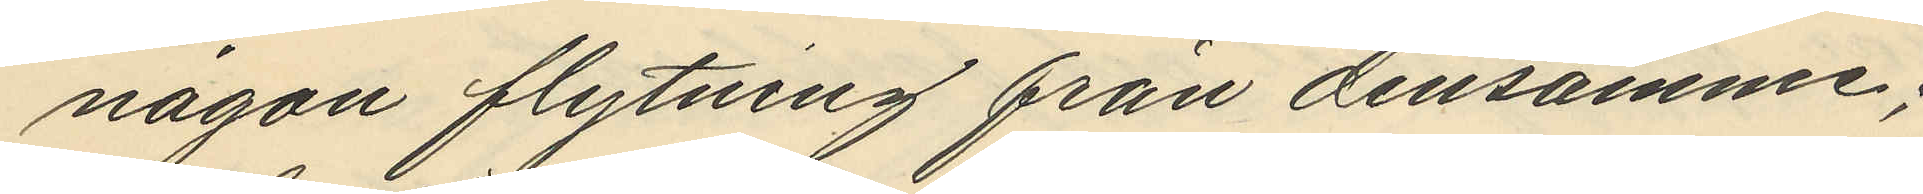någon flytning från densamme;
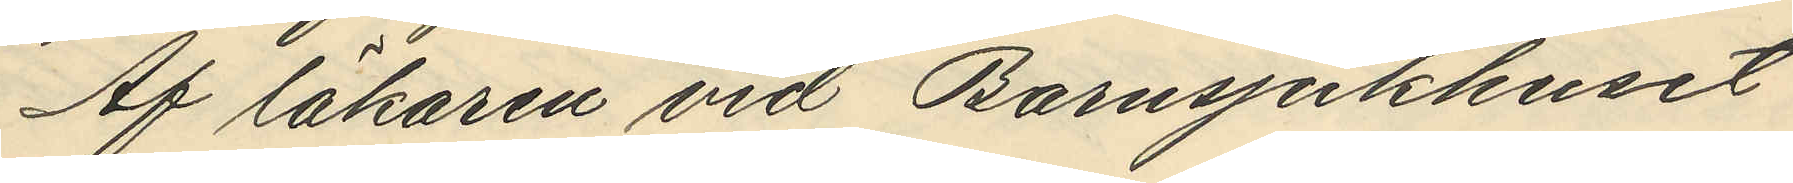Af läkaren vid Barnsjukhuset
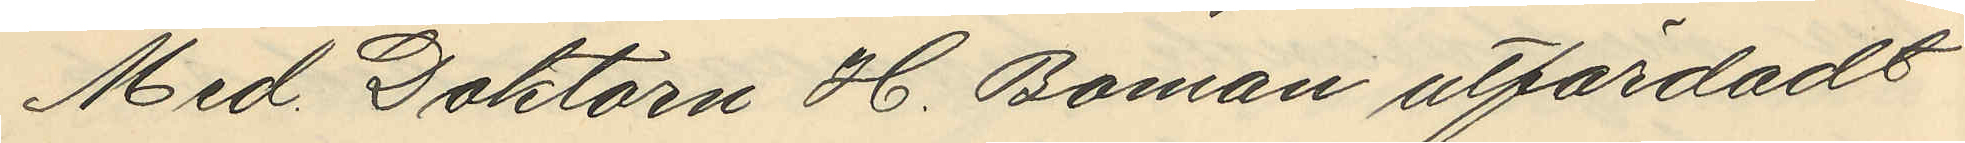Med. Doktorn H. Boman utfärdadt
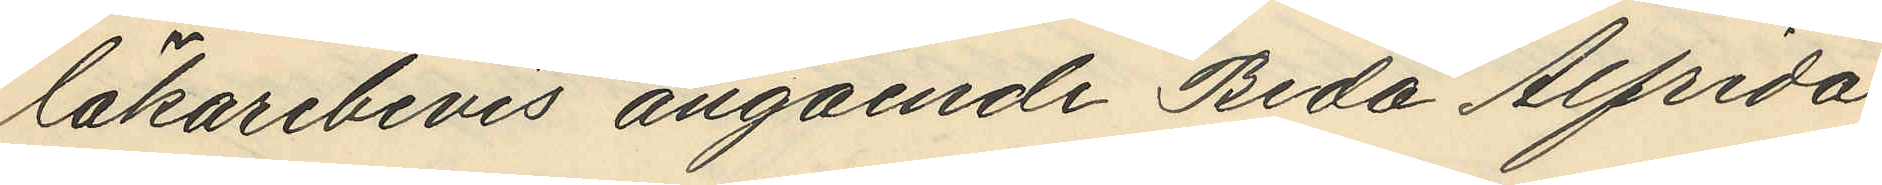läkarebevis angående Beda Alfrida
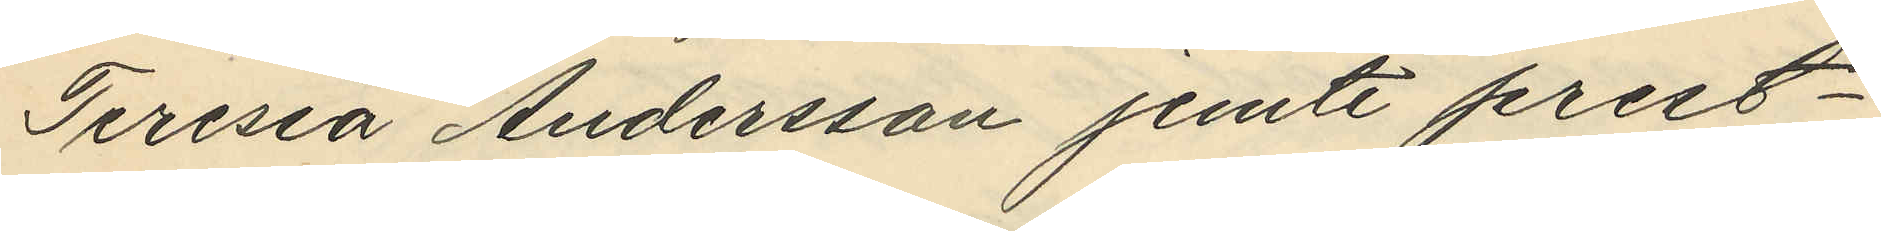Teresia Andersson jemte prest¬
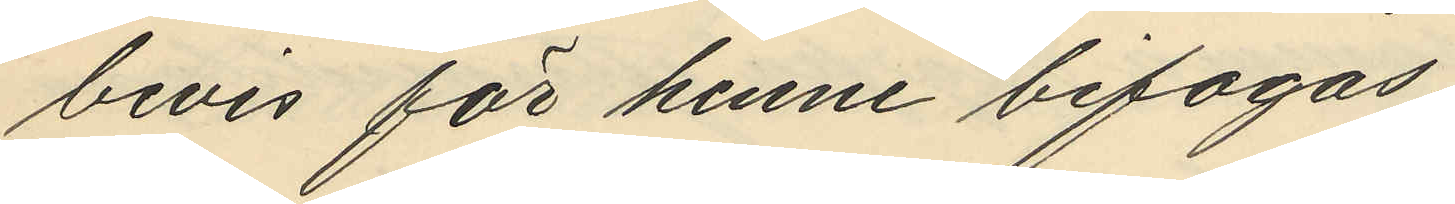bevis för henne bifogas
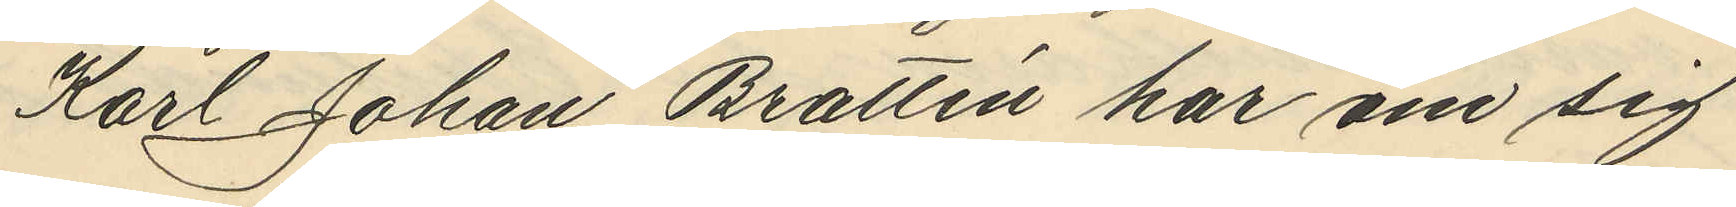Karl Johan Brattén har om sig
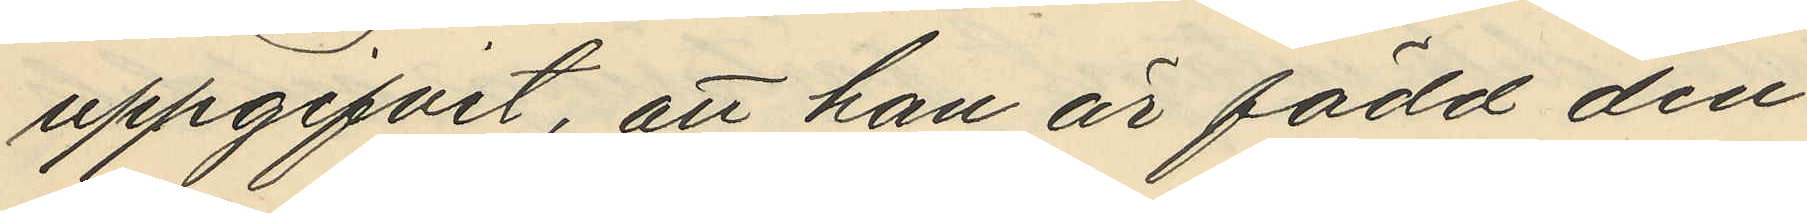uppgifvit, att han är född den
